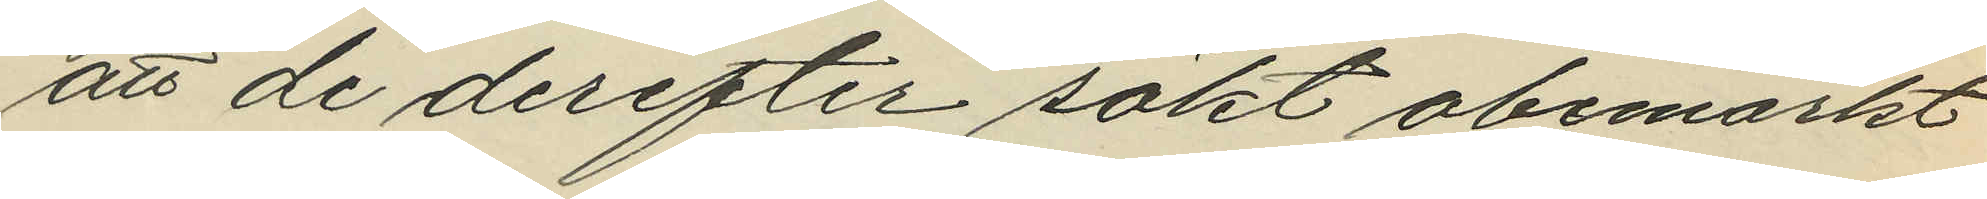att de derefter sökt obemärkt
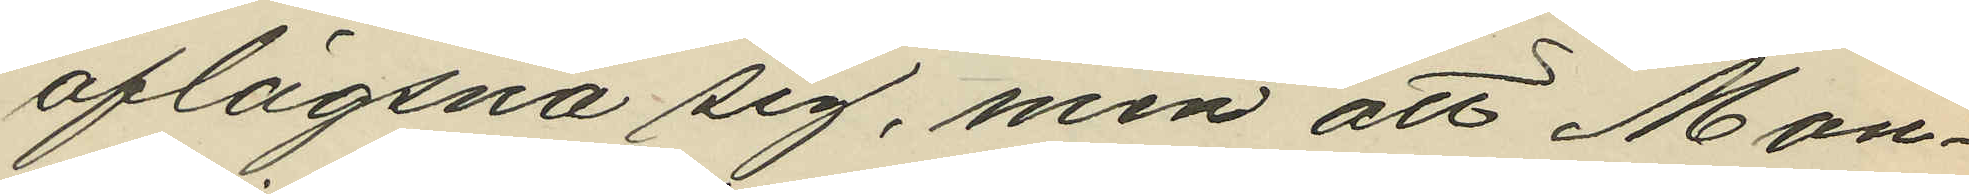aflägsna sig, men att Mon¬
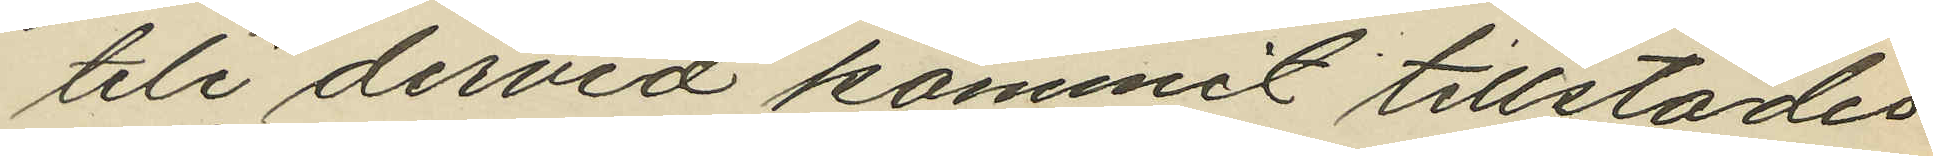teli dervid kommit tillstädes
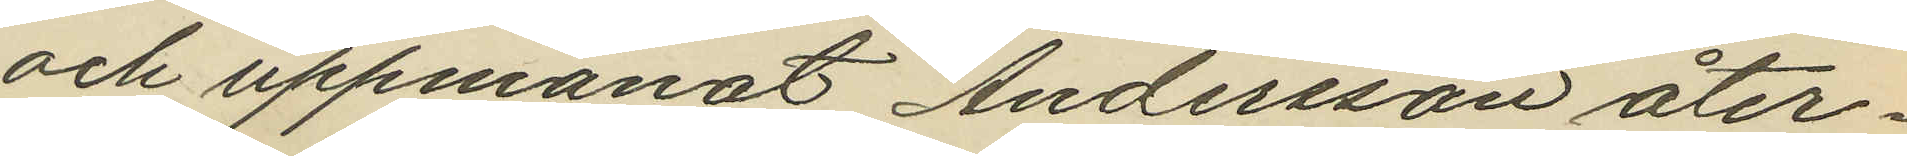och uppmanat Andersson åter¬
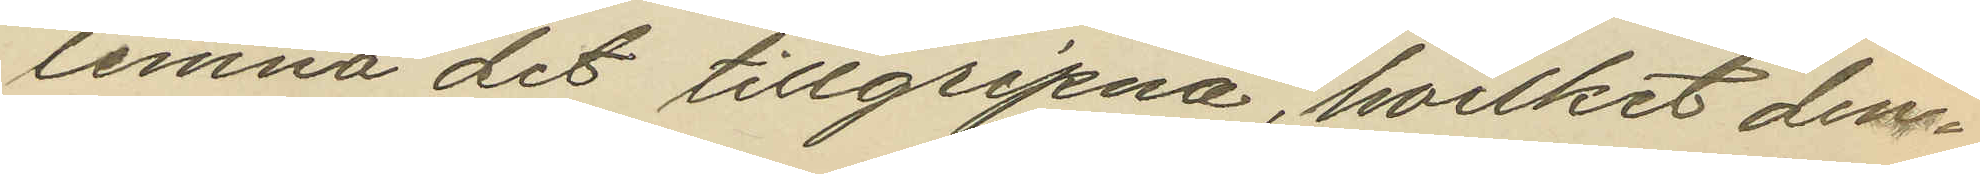lemna det tillgripna, hvilket den¬
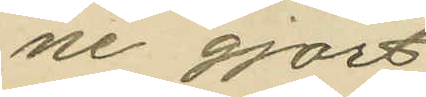ne gjort
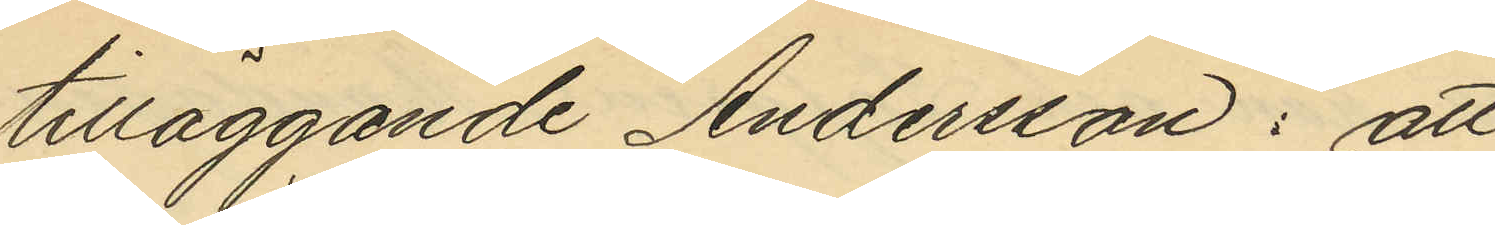tilläggande Andersson: att
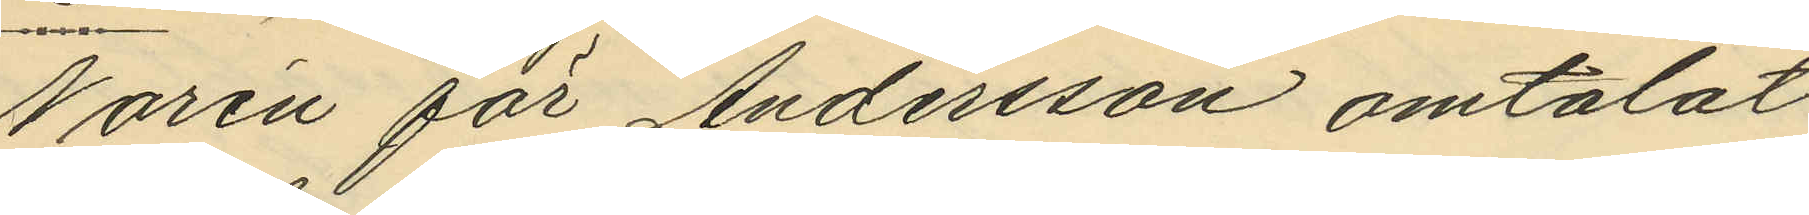Norén för Andersson omtalat
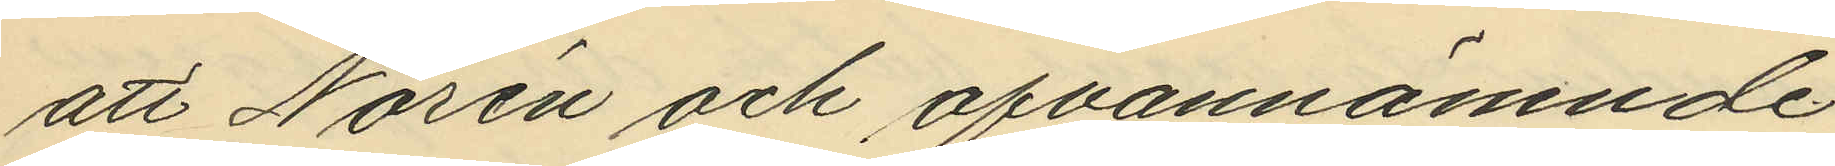att Norén och ofvannämnde
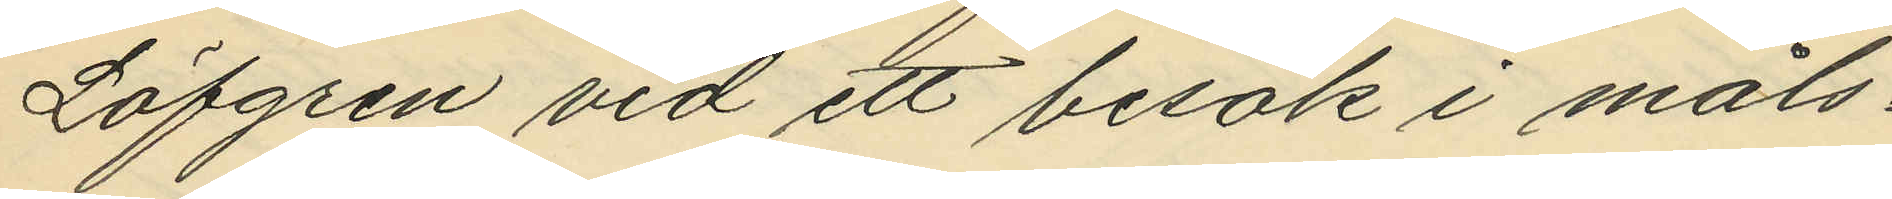Löfgren vid ett besök i måls¬
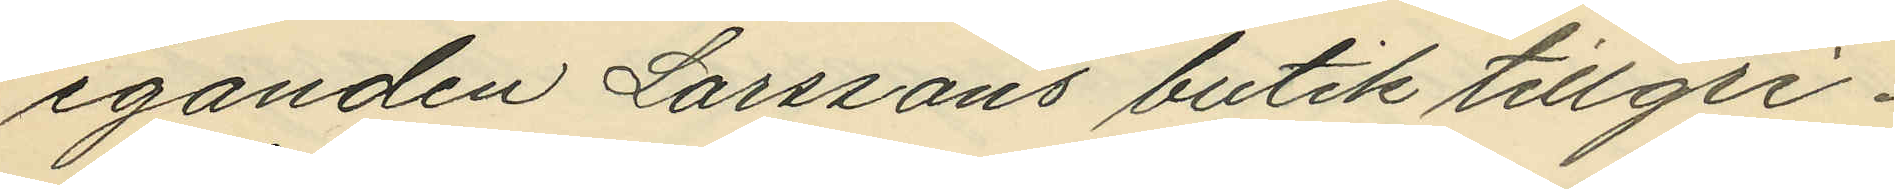eganden Larssons butik tillgri¬
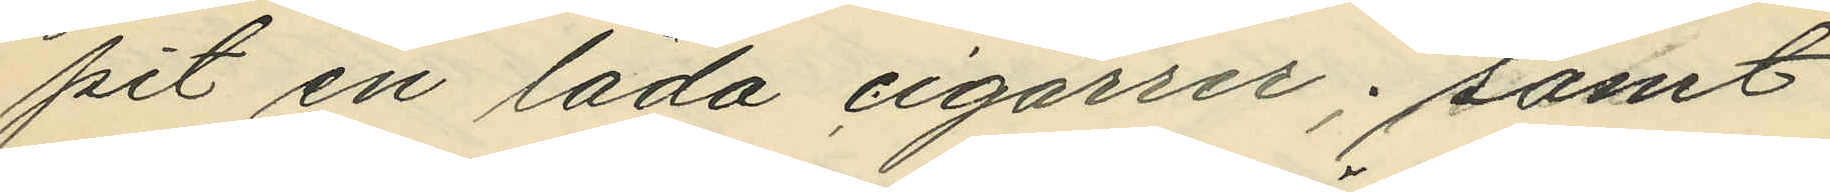pit en låda cigarrer; samt
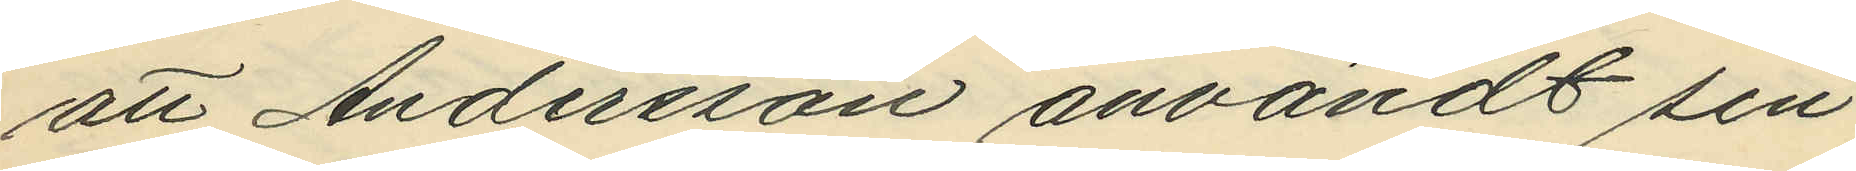att Andersson användt sin
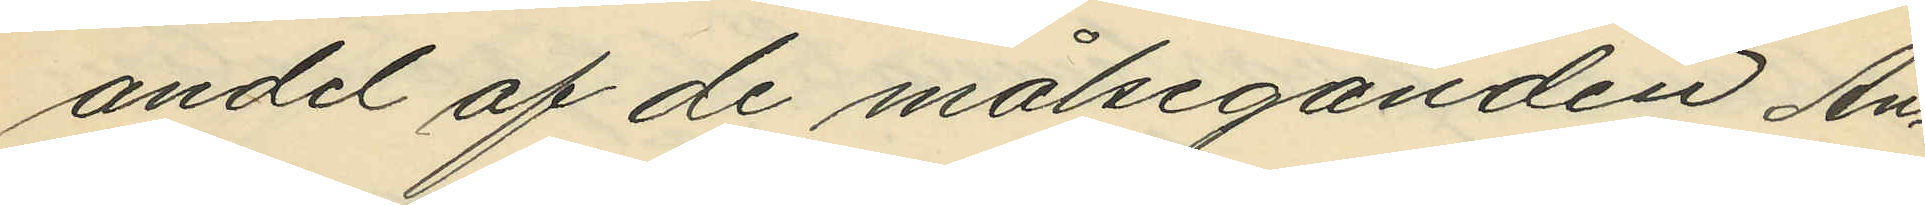andel af de målseganden An¬
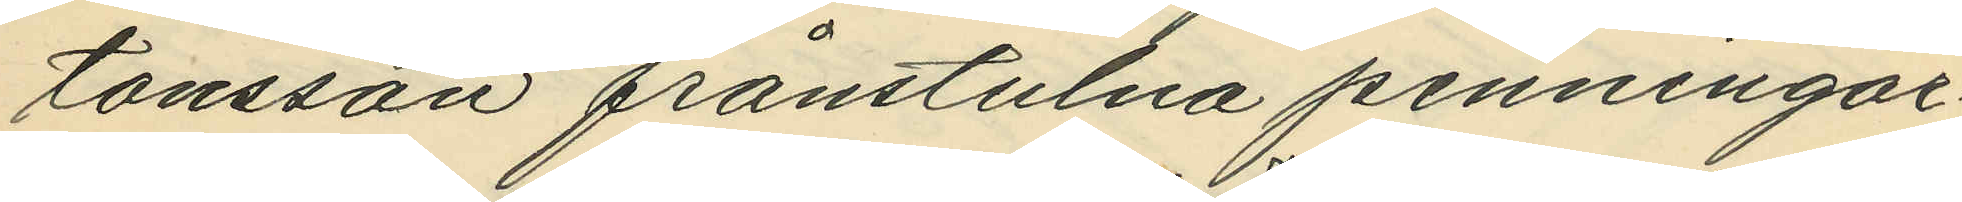tonsson frånstulna penningar¬
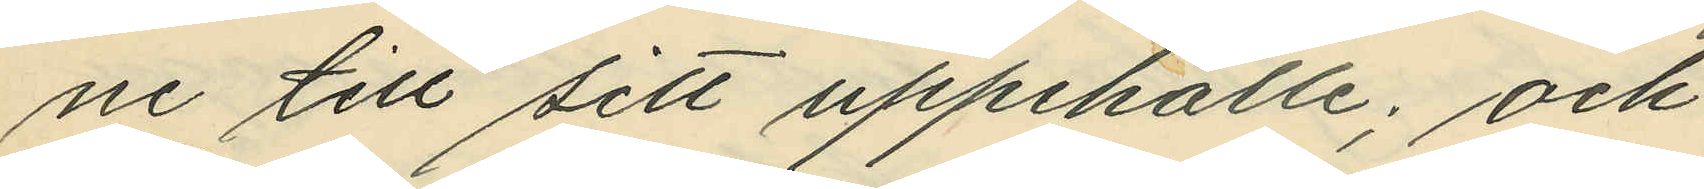ne till sitt uppehälle; och
